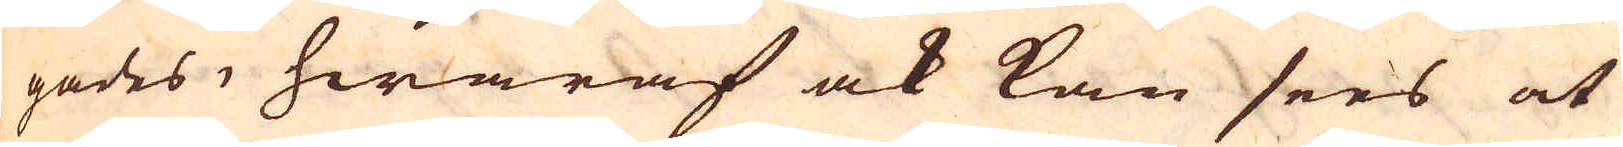gades, hwaraf ock kan sees at
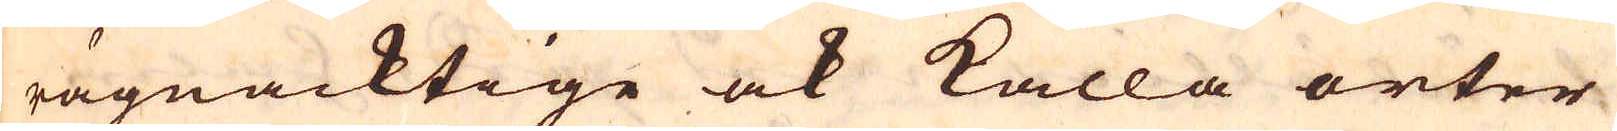rägnacktige ock kalla orter
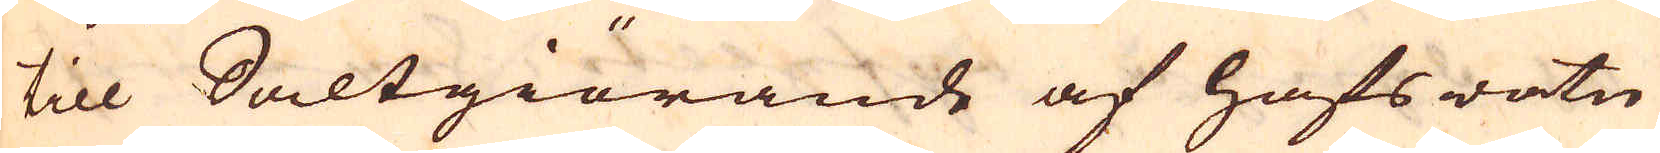till Saltgiörande af hafswatn
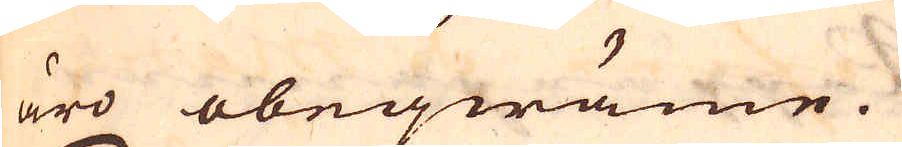äro obeqwäme.
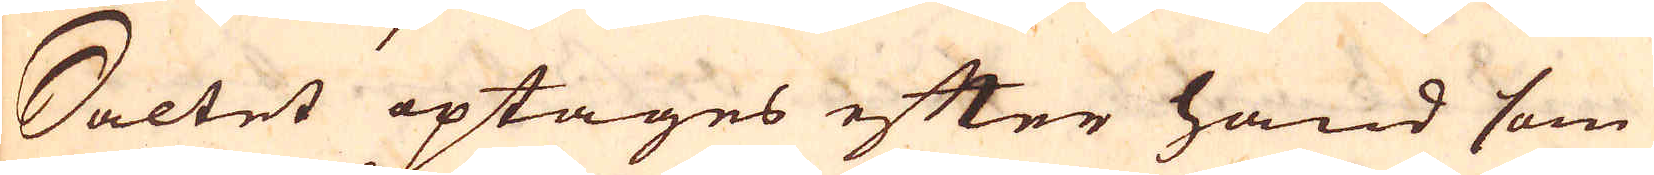Saltet optages efter hand som
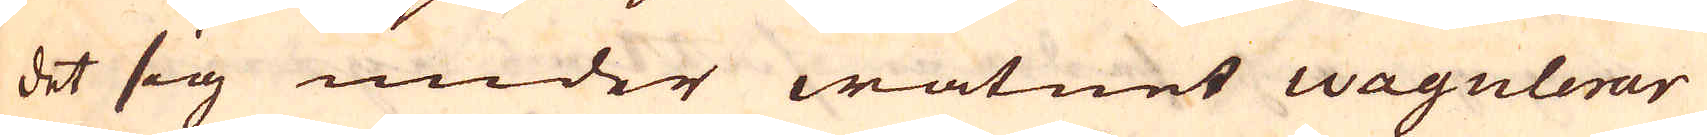det sig under watnet wagulerar
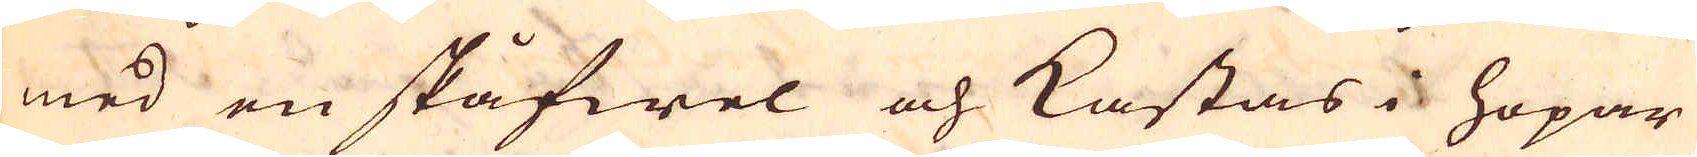med en skåfwel och kastas i hopar
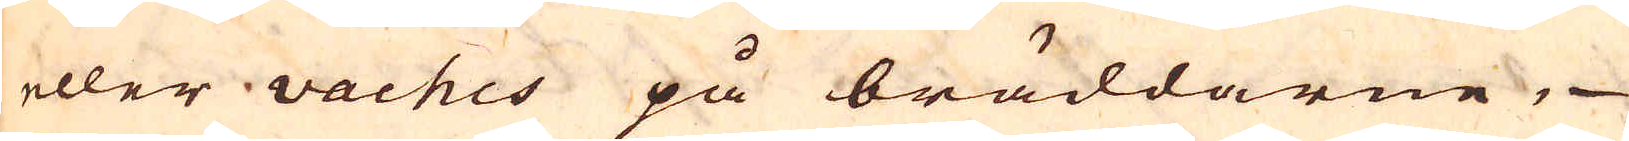eller vaches på bräddarne,
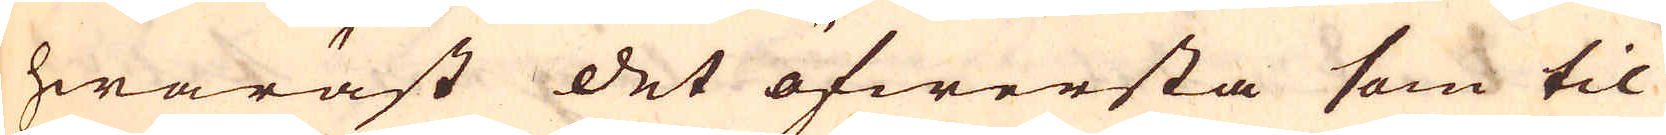hwaräst det öfwersta som til
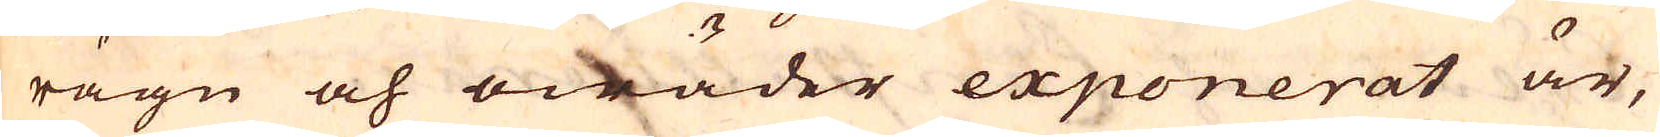rägn och owäder exponerat är,
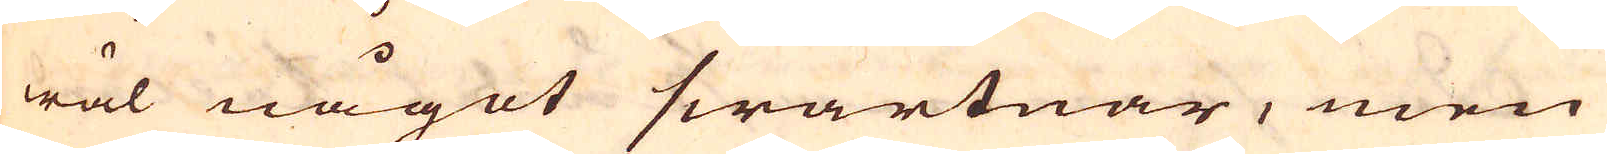wäl något swartnar, men
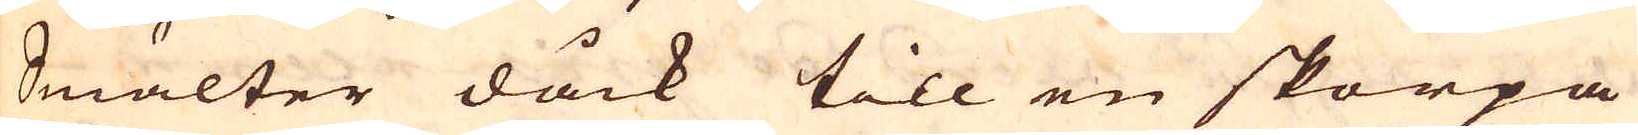Smälter dåck till en skorpa
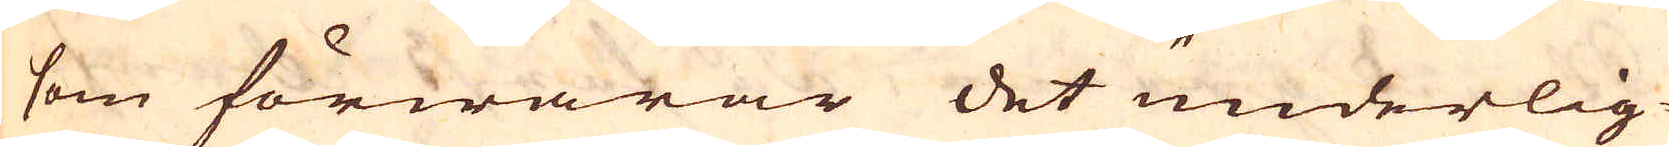som förwarar det underlig-
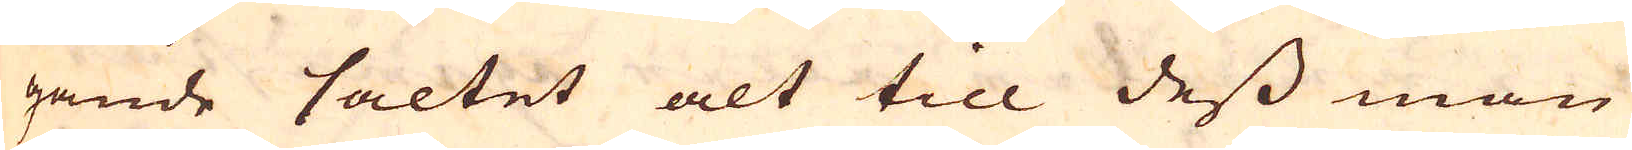gande saltet alt till dess man
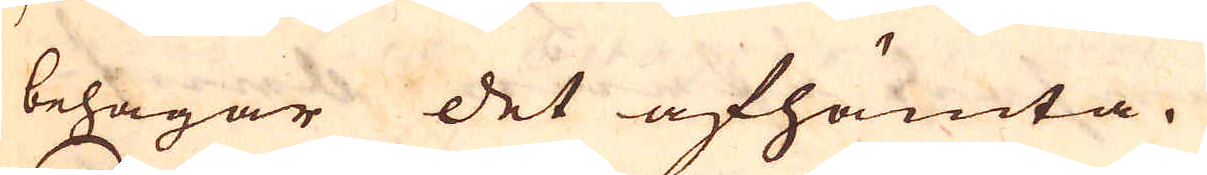behagar det afhämta.
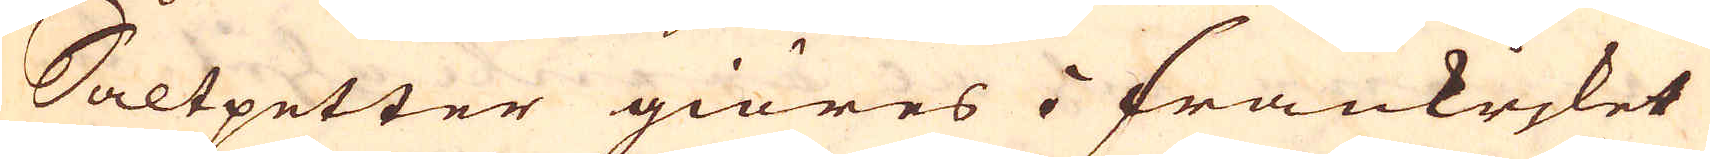Saltpetter giöres i Frankrjket
